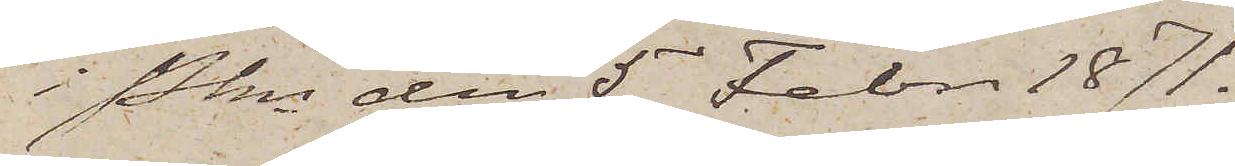i Pkn den 5 Febr. 1871.
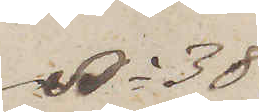No 38
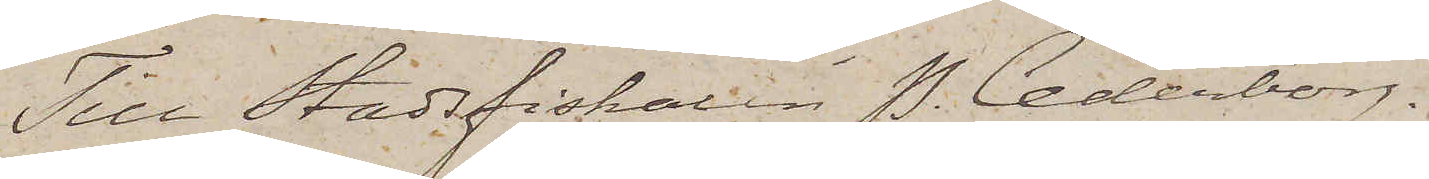Till Stadsfiskaren P. Cederborg.
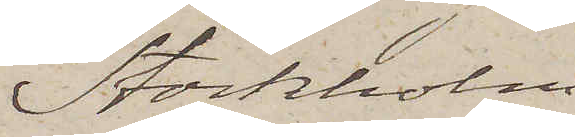Stockholm.
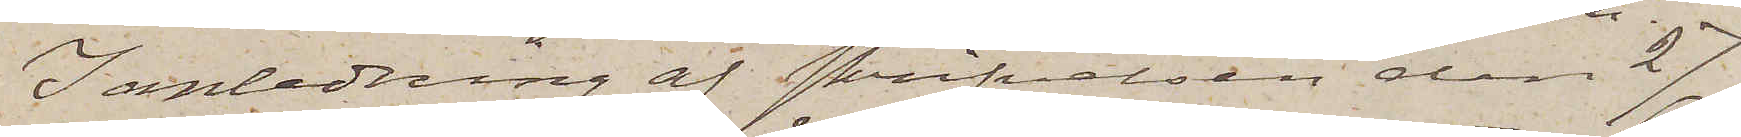I anledning af skrifvelsen den 27
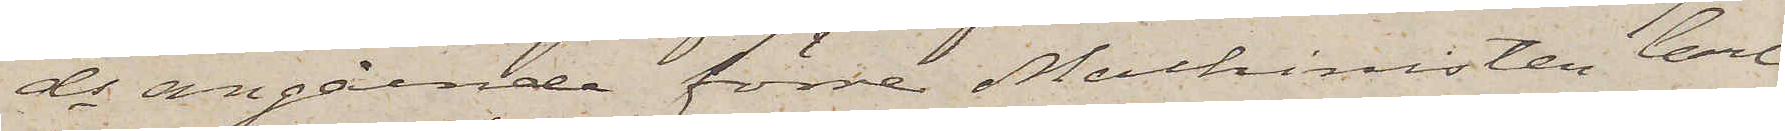ds angående förre Machinisten Carl
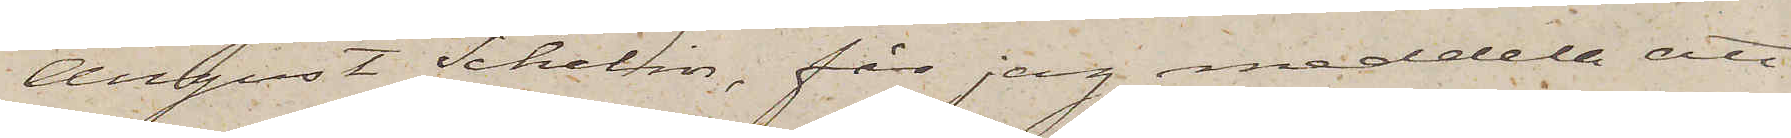August Schelin, får jag meddela att
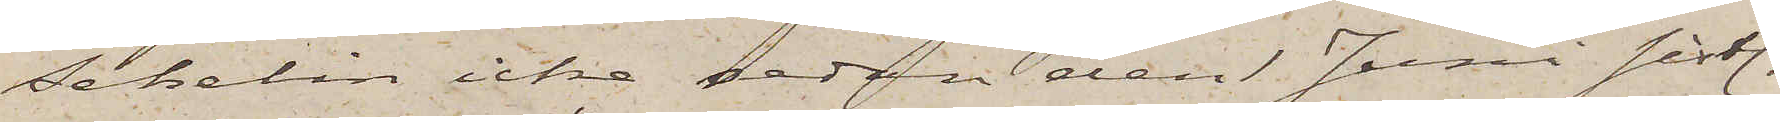Schelin icke sedan den 1 Juni sistl.
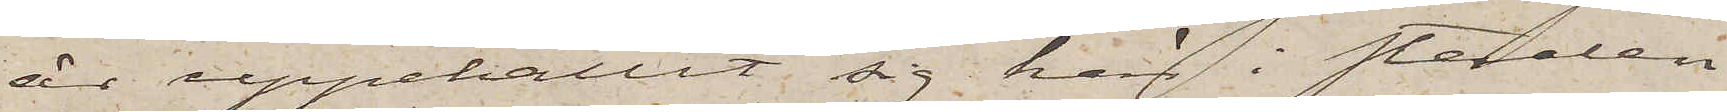år uppehållit sig här i staden.
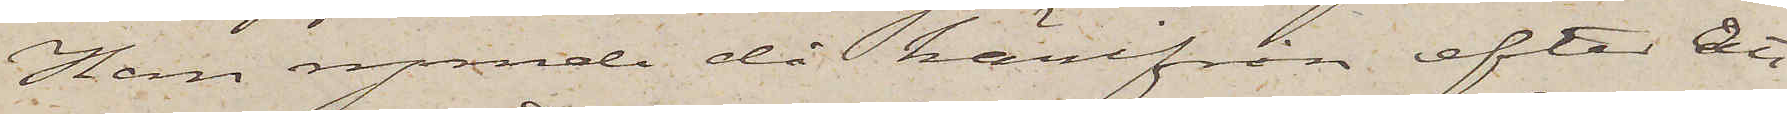Han rymde då härifrån efter att
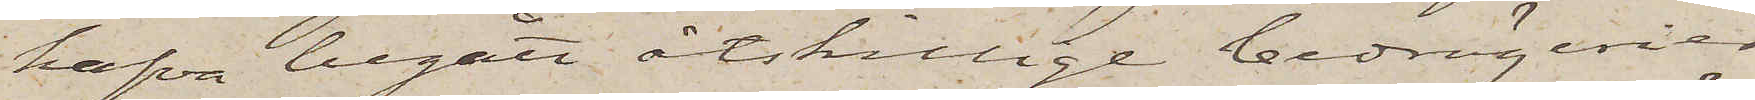hafva begått åtskillige bedrägerier
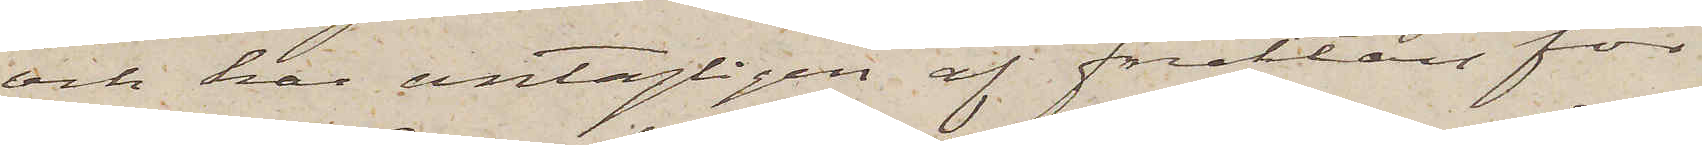och har antagligen af fruktan för
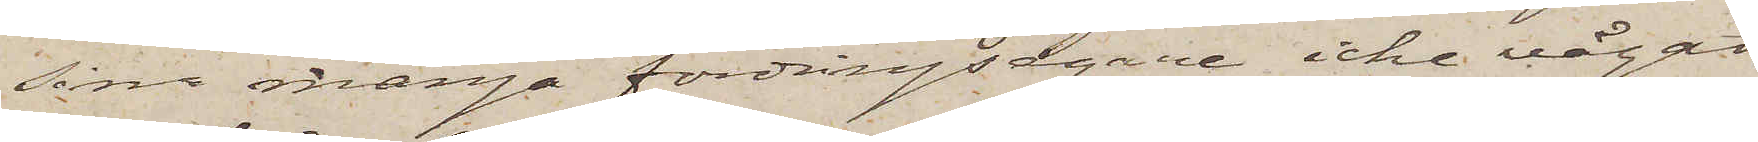sina många fordringsegare icke vågat
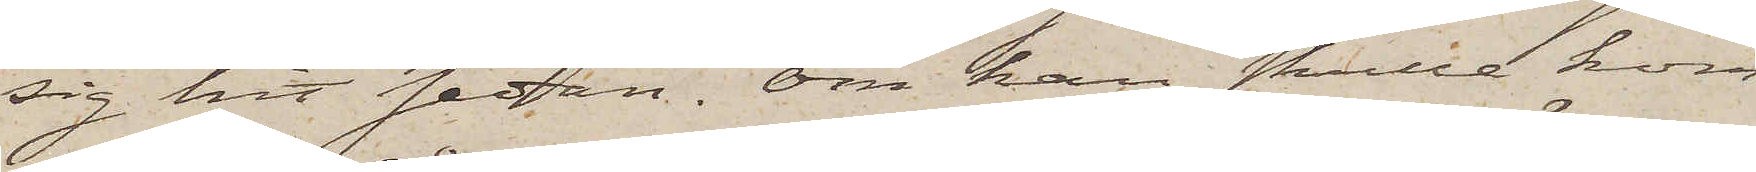sig hit sedan. Om han skulle kom¬
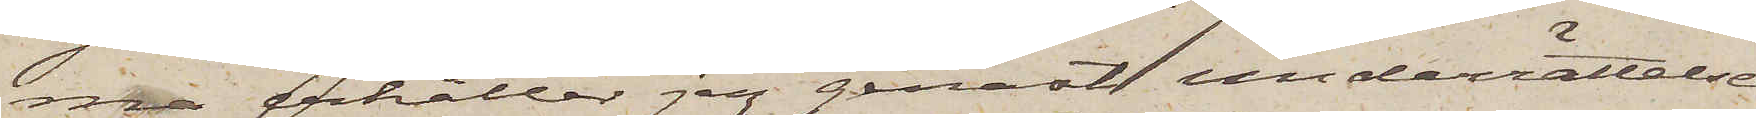ma erhåller jag genast underrättelse
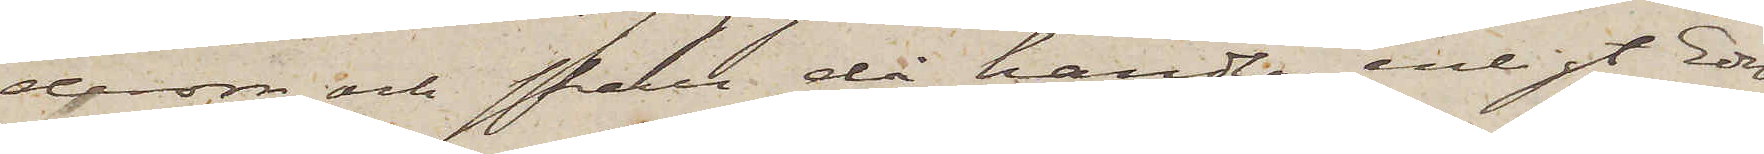derom och skall då handla enligt Eder
